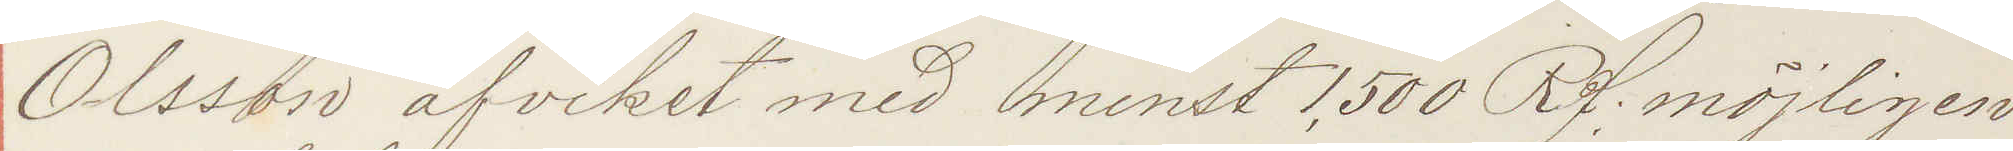Olsson afvikit med minst 1,500 Rd: möjligen
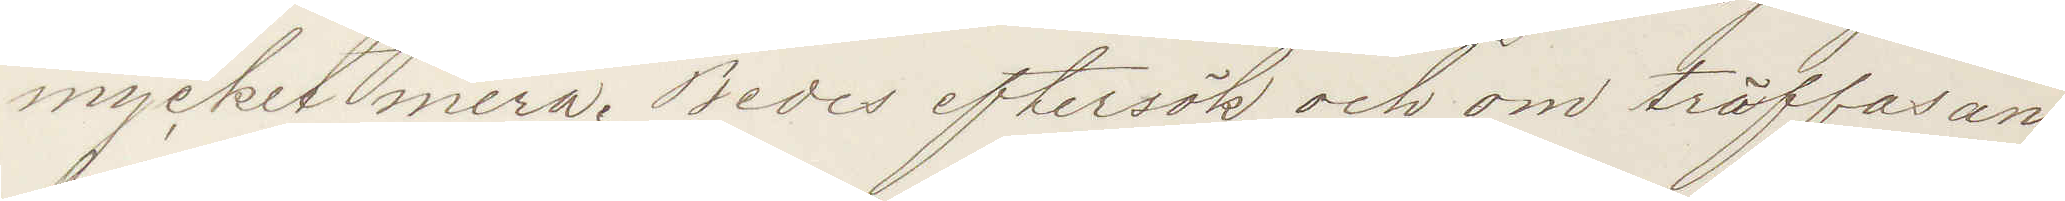mycket mera. Bedes eftersök och om träffas an¬
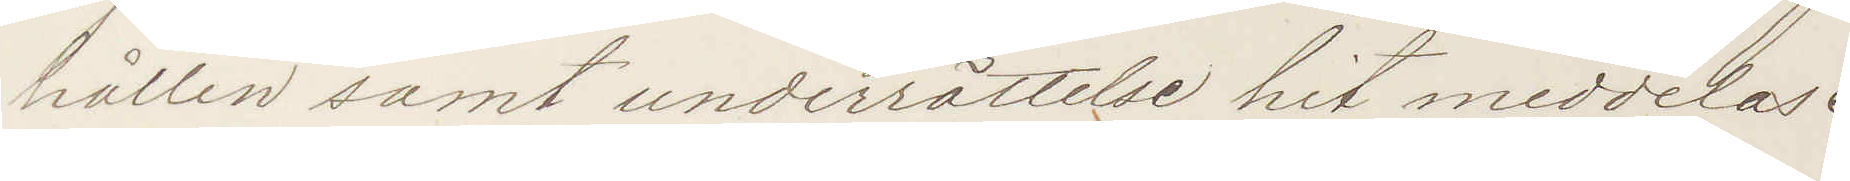hållen samt underrättelse hit meddelas.
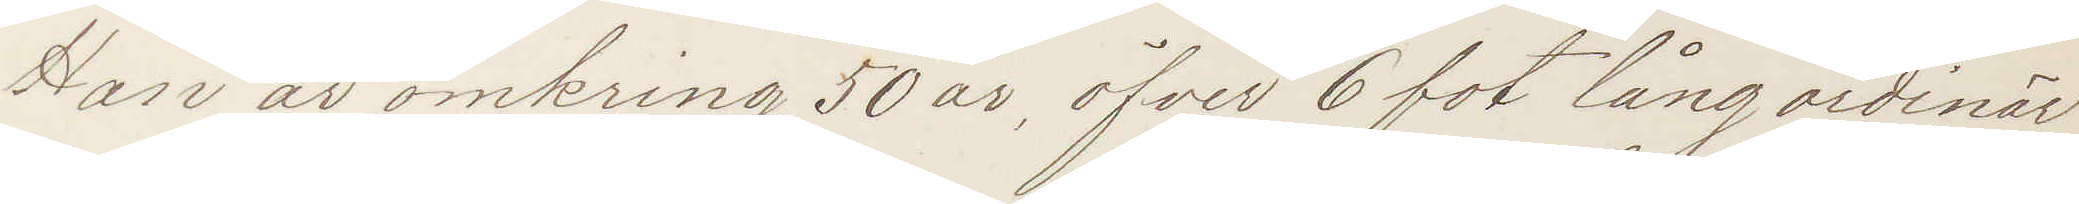Han är omkring 50 år, öfver 6 fot lång ordinär
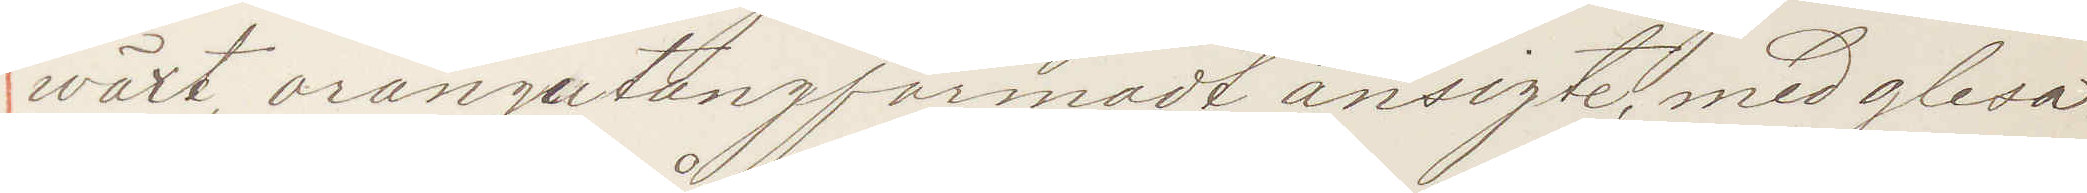wäxt, orangutangformadt ansigte, med glesa
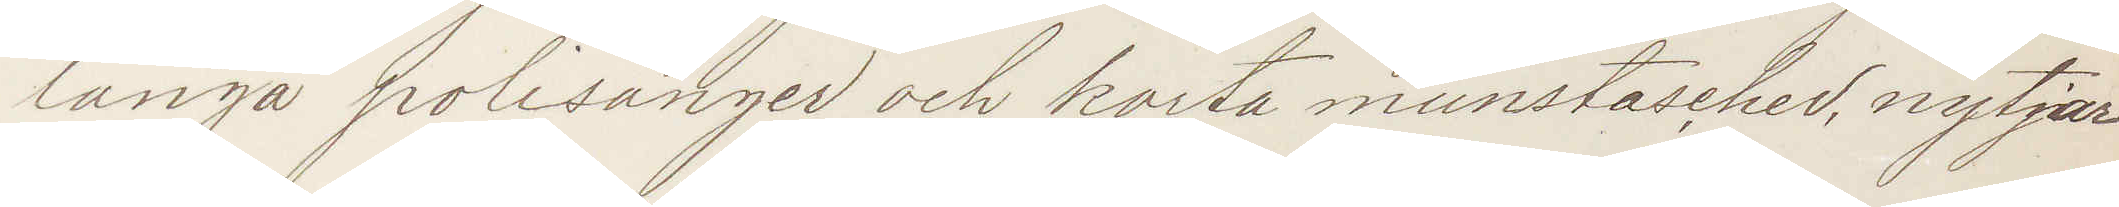långa polisånger och korta munstascher. nytjar
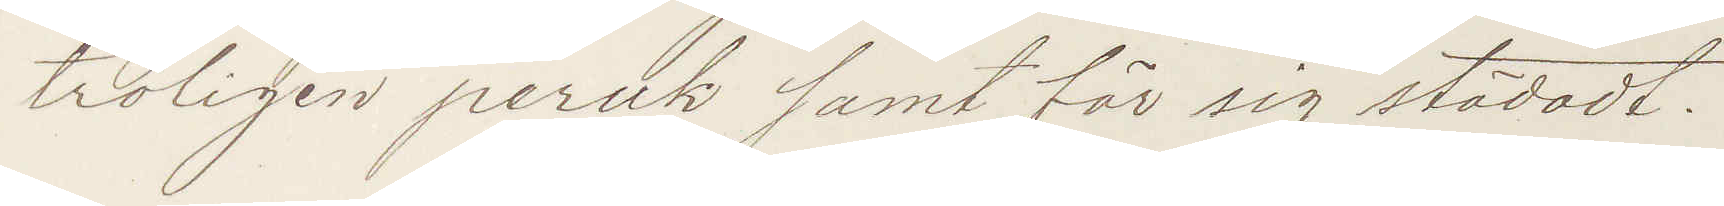troligen peruk samt för sig städadt.
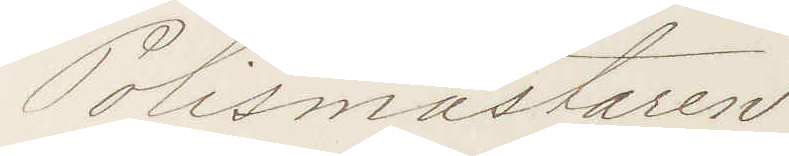Polismästaren
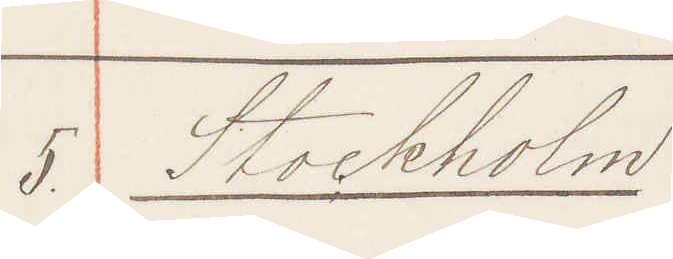5. Stockholm
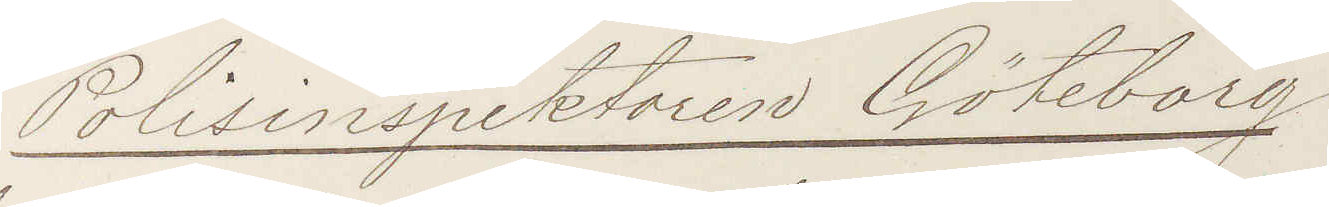Polisinspektorn Göteborg
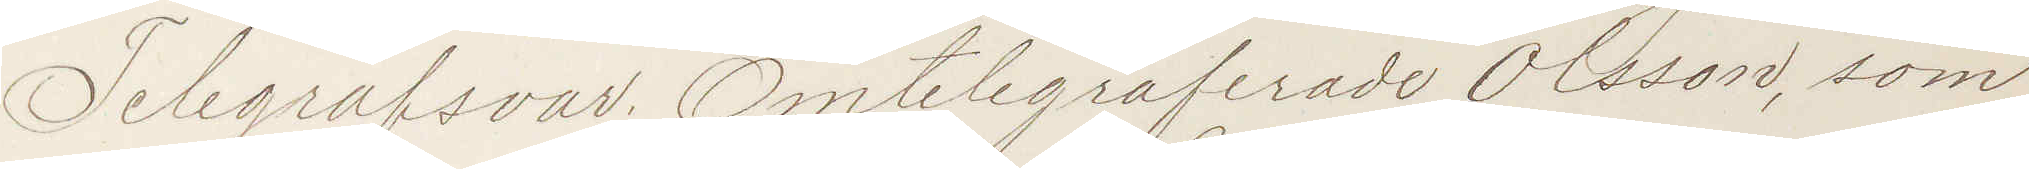Telegrafsvar Omtelegraferade Olsson, som
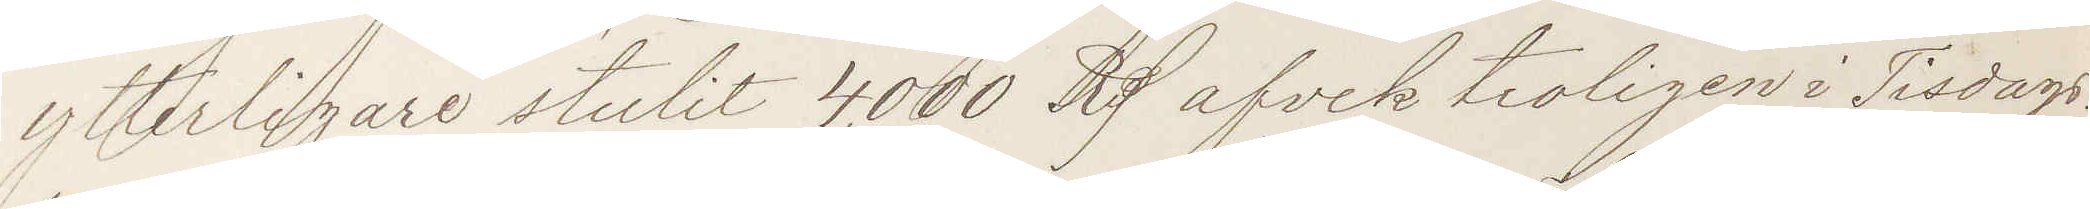ytterligare stulit 4,000 Rd afvek troligen i Tisdags.
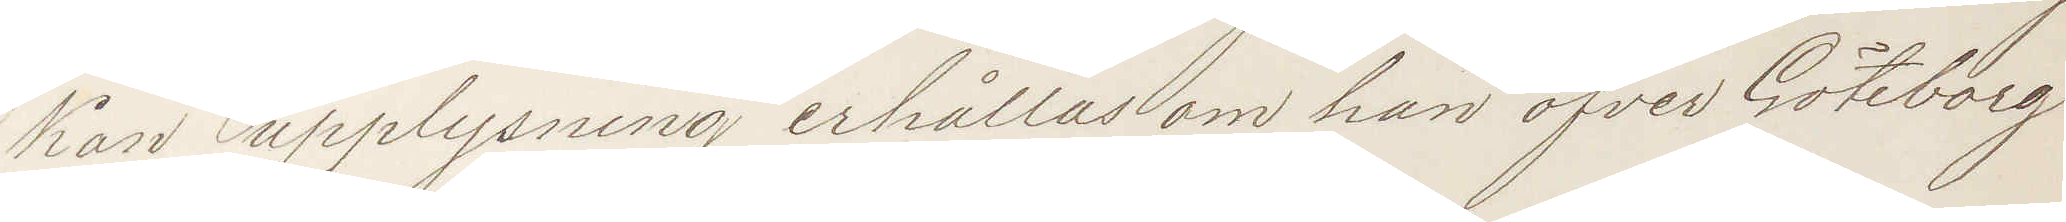Kan upplysning erhållas om han öfver Göteborg
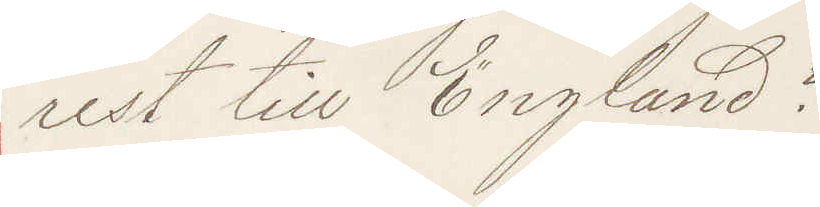rest till England?
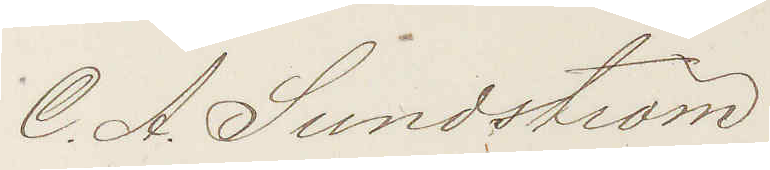C. A. Sundtsröm
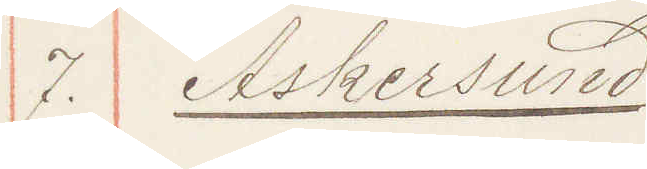7. Askersund
